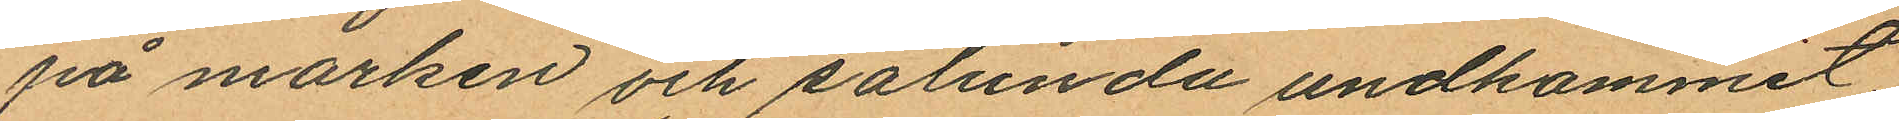på marken och sålunda undkommet;
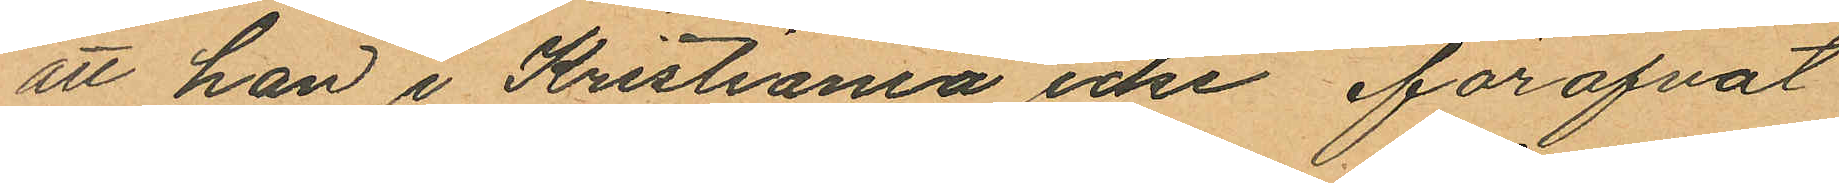att han i Kristiania icke föröfvat
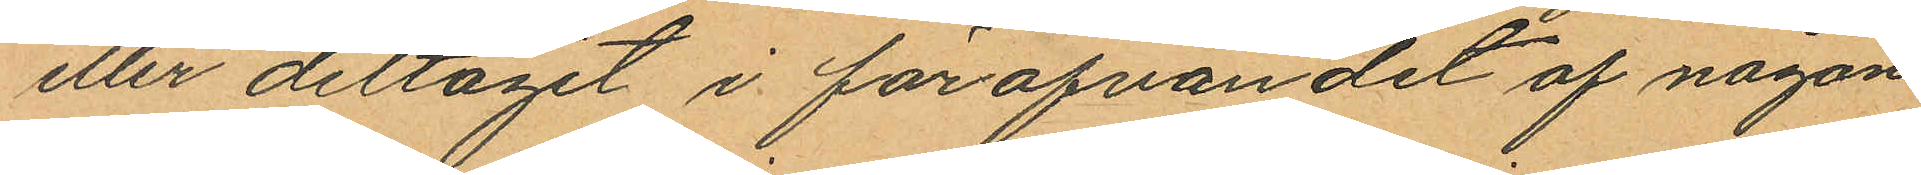eller deltagit i föröfvandet af någon
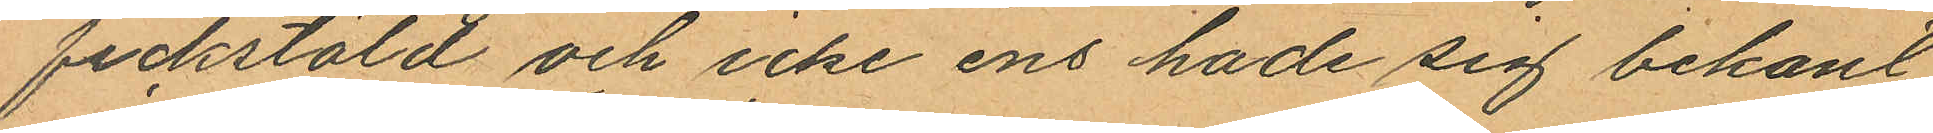fickstöld och icke ens hade sig bekant
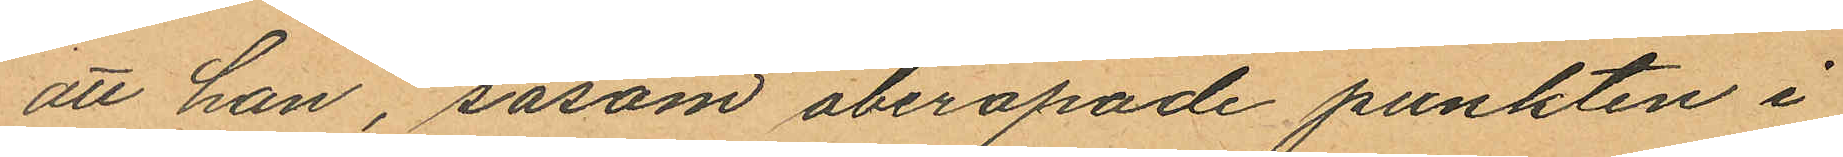att han, såsom åberopade punkten i
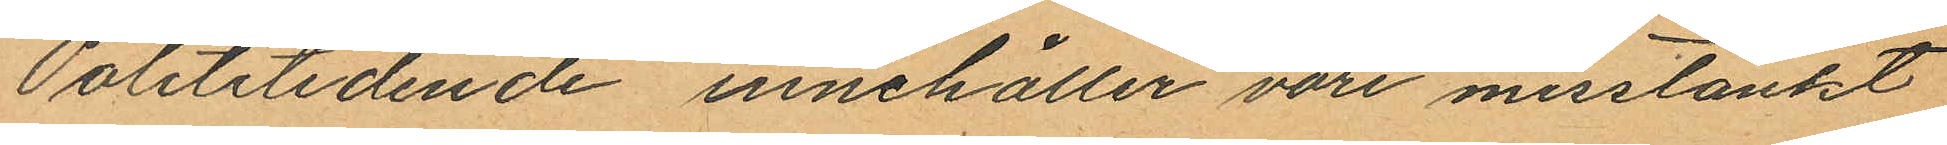"Polititidende" innehåller vore misstänkt
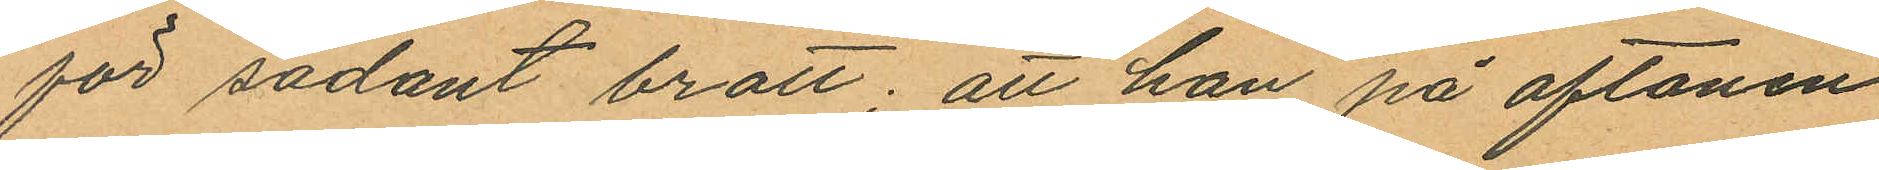för sådant brott; att han på aftonen
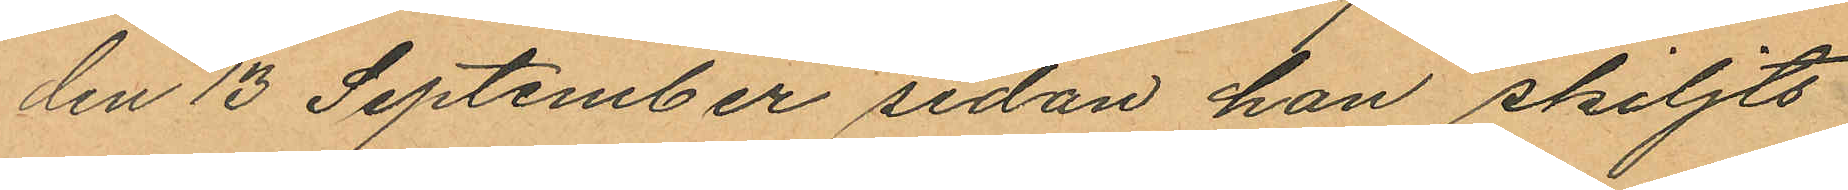den 13 September sedan han skiljts
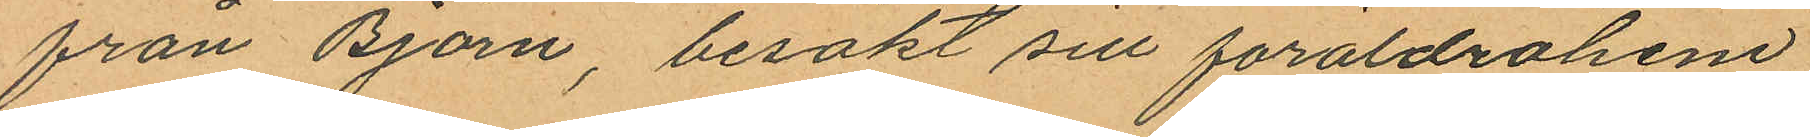från Björn, besökt sill föräldrahem
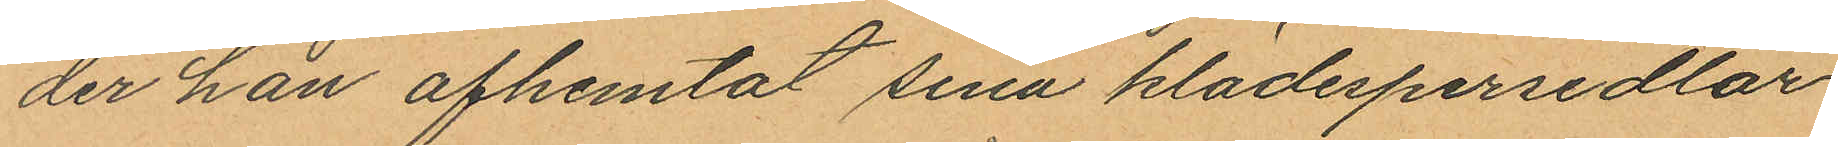der han afhemtat sina klädespersedlar
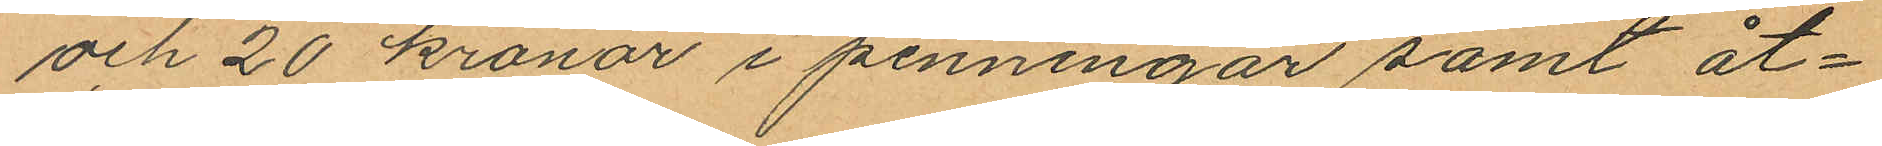och 20 kronor i penningar samt åt¬
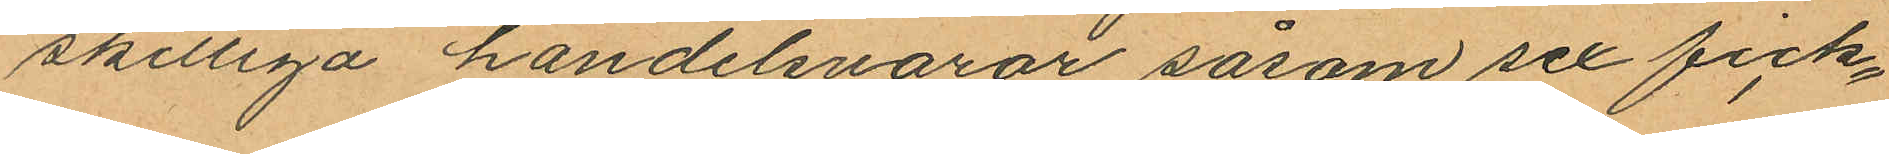skilliga handelsvaror såsom sex fick¬
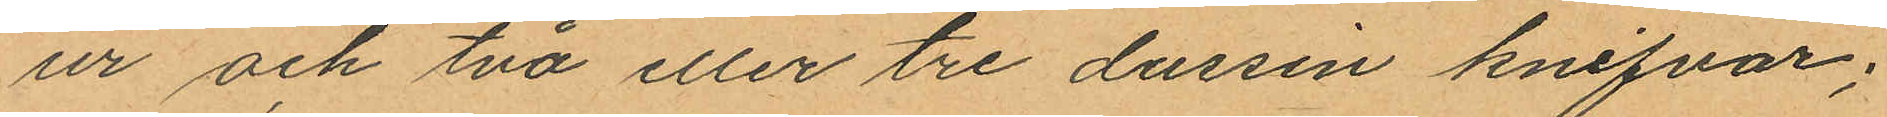ur och två eller tre dussin knifvar;
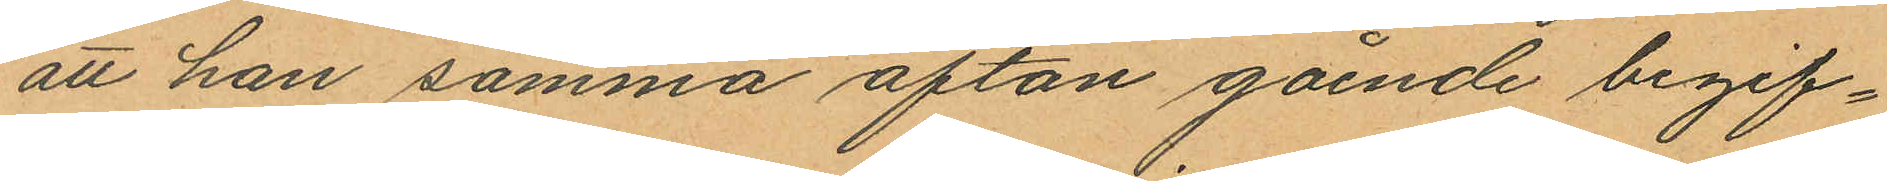att han samma afton gående begif¬
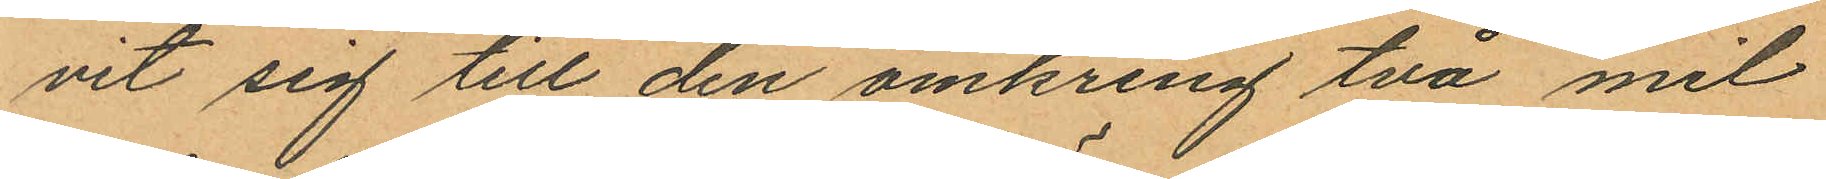vit sig till den omkring två mil
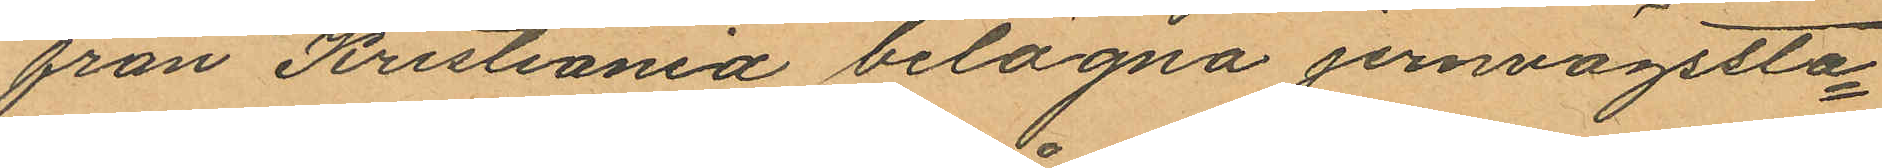från Kristiania belägna jernvägssta¬
